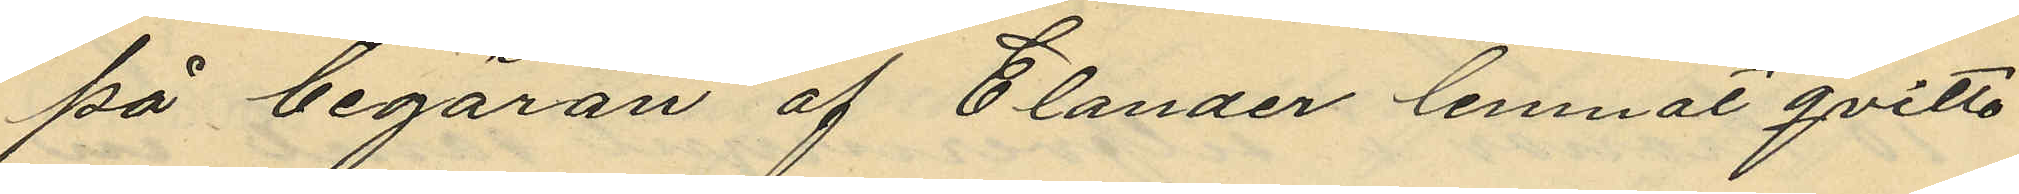på begäran af Elander lemnat qvitto
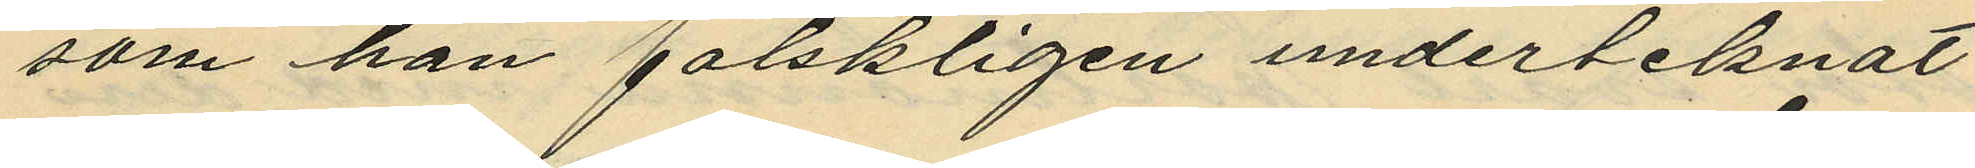som han falskligen underteknat
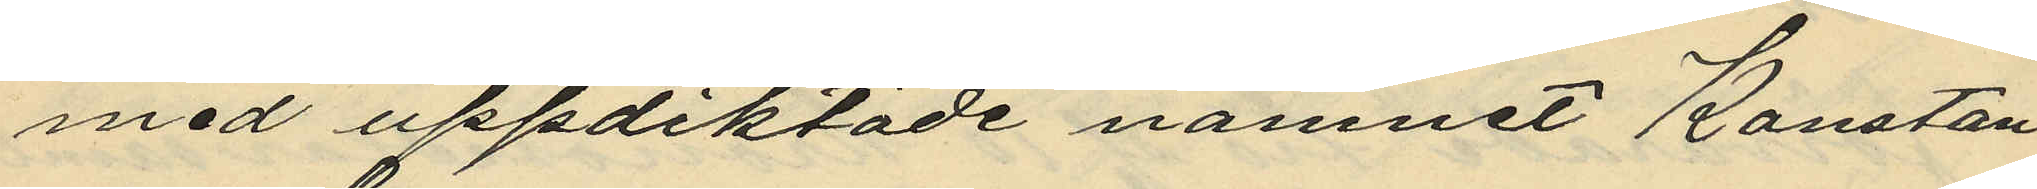med uppdiktade namnet Konstan
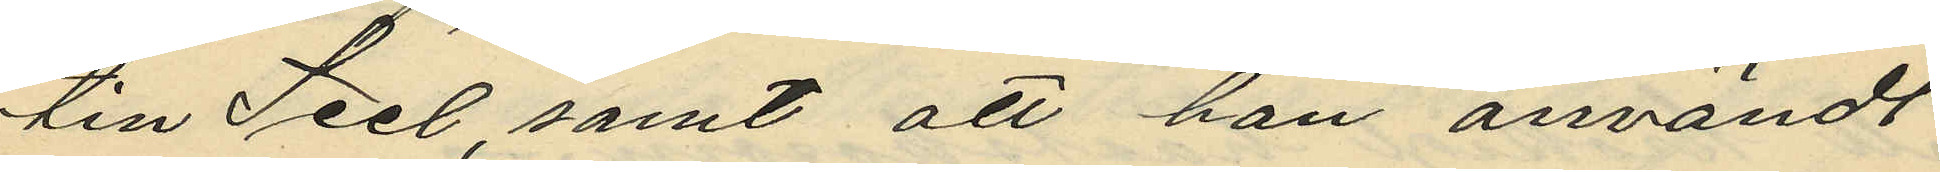tin Seel, samt att han användt
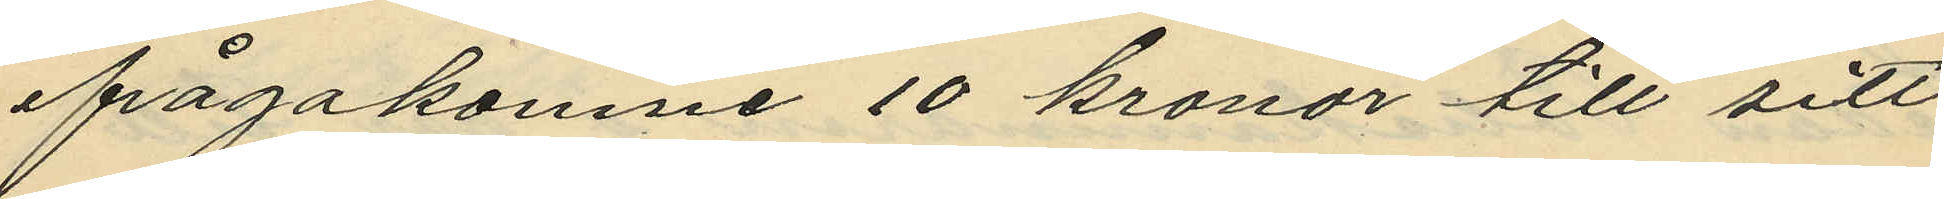ifrågakomne 10 kronor till sitt
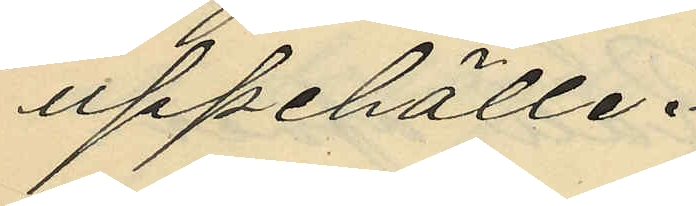uppehälle.
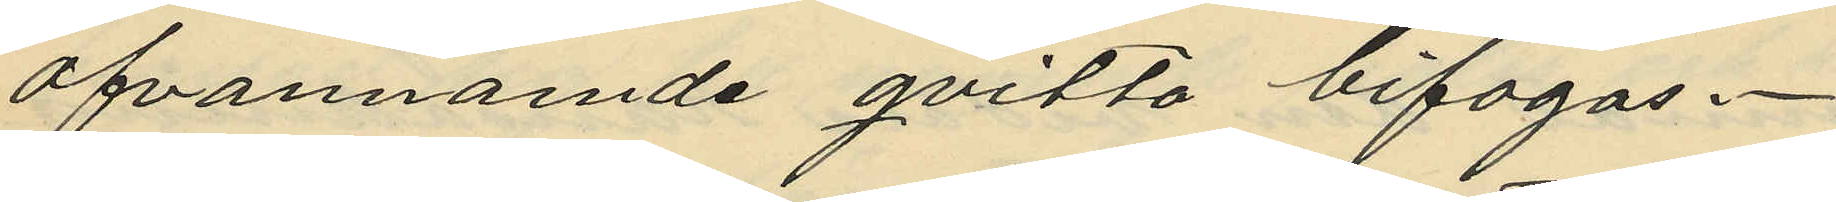ofvannämde qvitto bifogas.
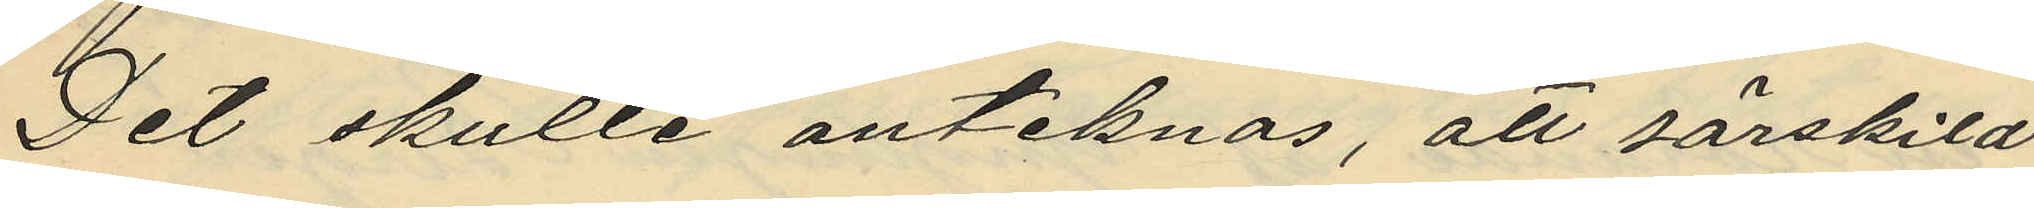Det skulle anteknas, att särskild
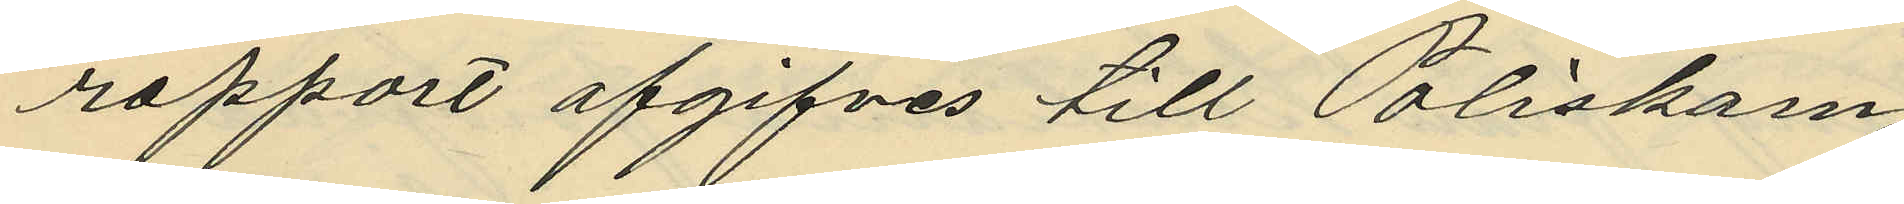rapport afgifves till Poliskam¬
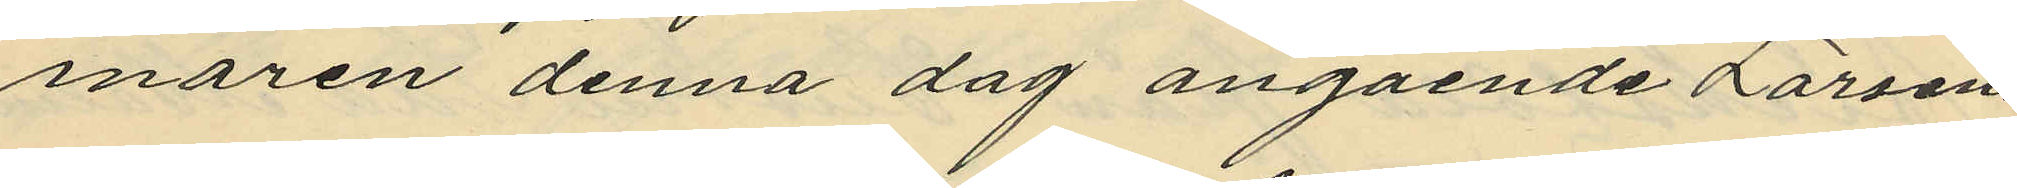maren denna dag angående Larsens
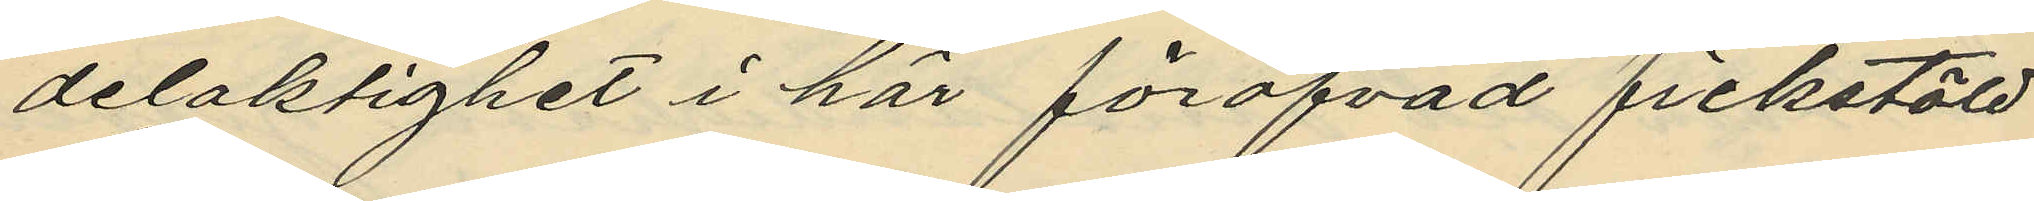delaktighet i här föröfvad fickstöld
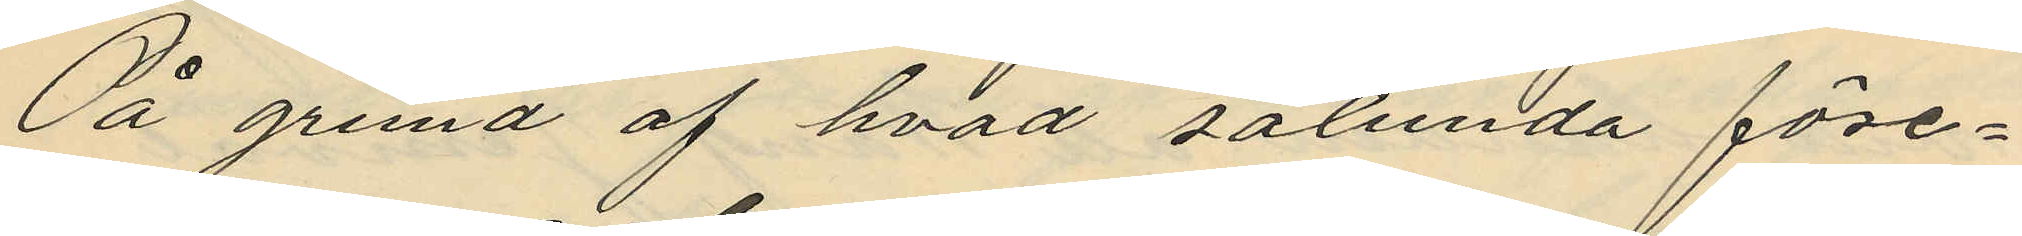På grund af hvad sålunda före¬
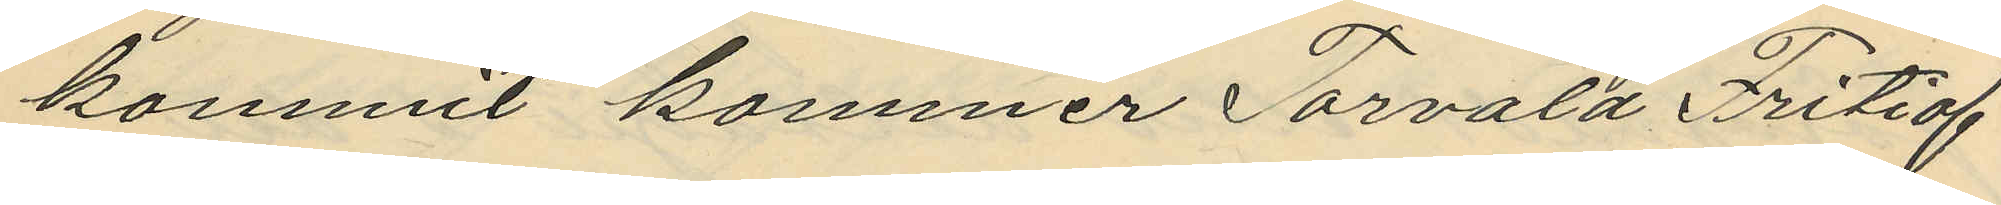kommit kommer Torvald Fritiof
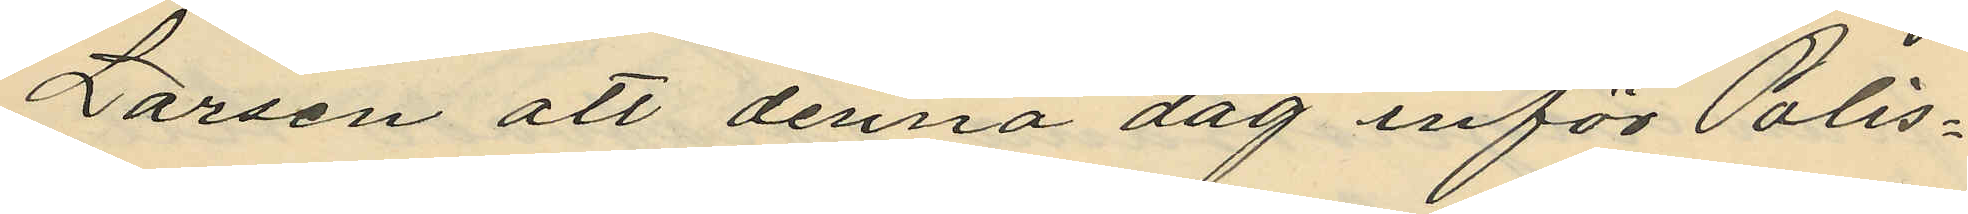Larsen att denna dag inför Polis¬
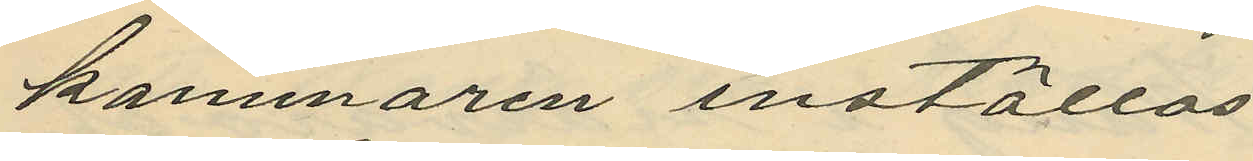kammaren inställas.
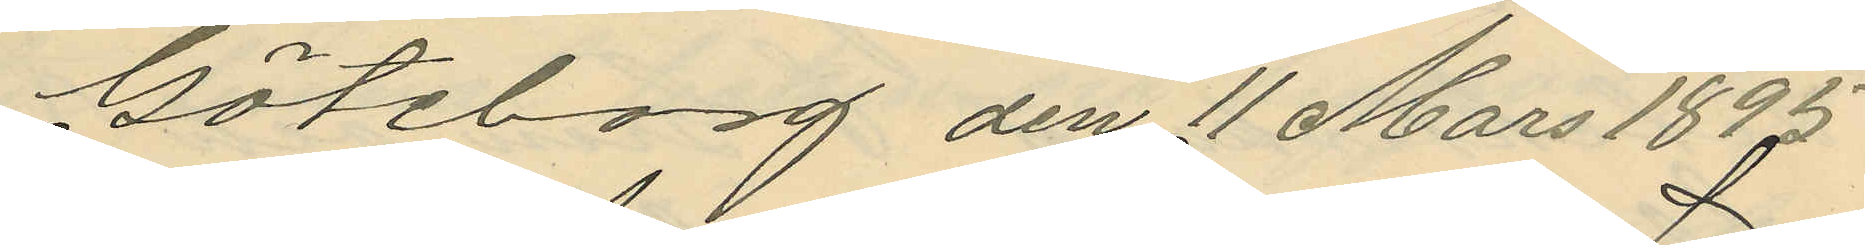Göteborg den 11 Mars 1895
